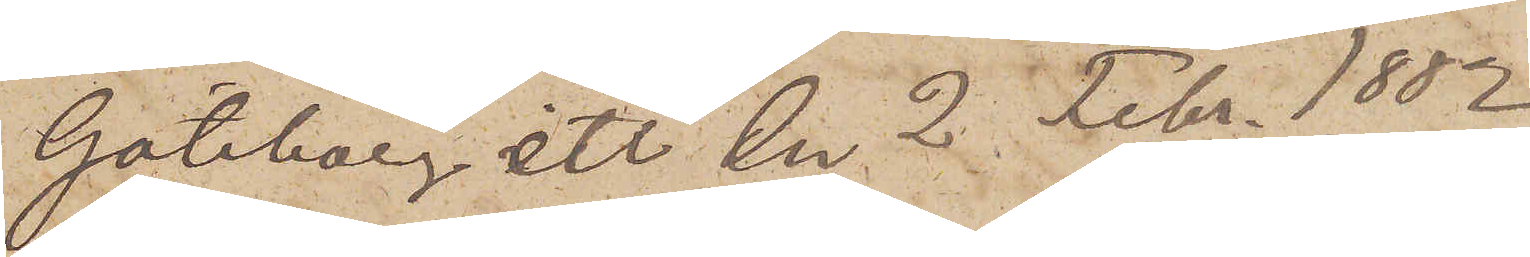Göteborg etc den 2 Febr. 1882.
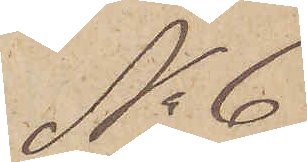No 6
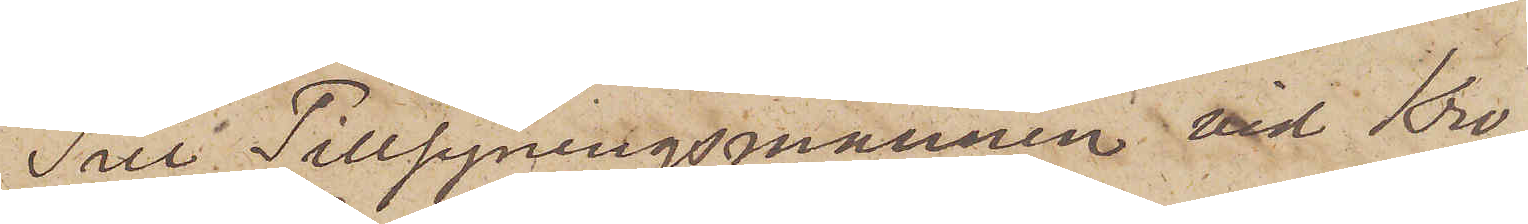Till Tillsyningsmannen vid Kro¬
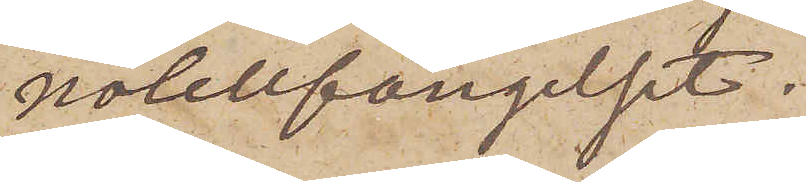nocellfängelset.
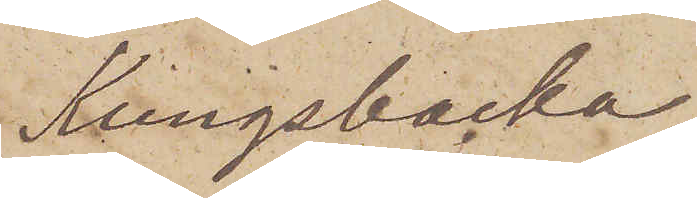Kungsbacka.
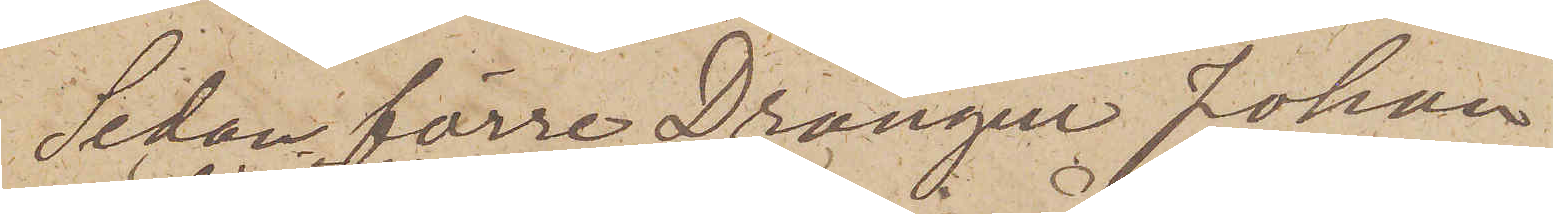Sedan förre Drängen Johan
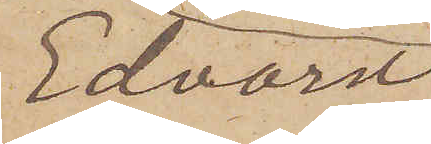Edvard
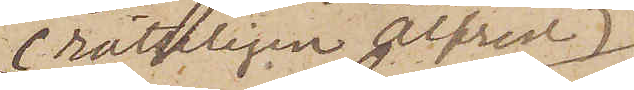(rättteligen Alfred)
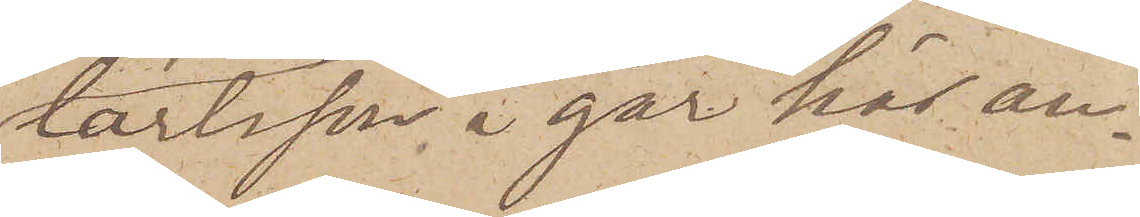Carlsson i går här an¬
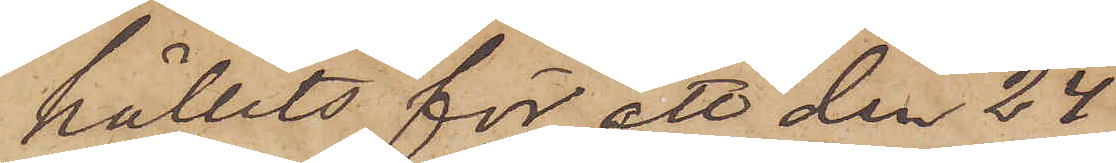hållits för ett den 24
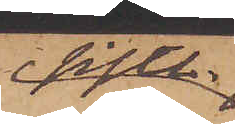sistl.
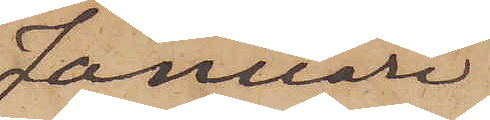Januari
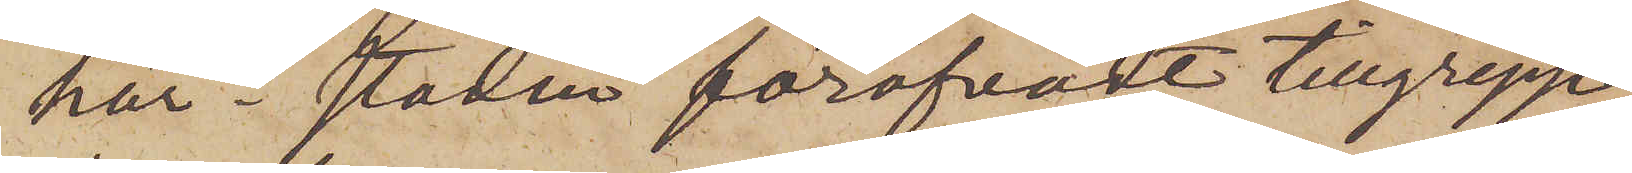här i staden föröfvadt tillgrepp,
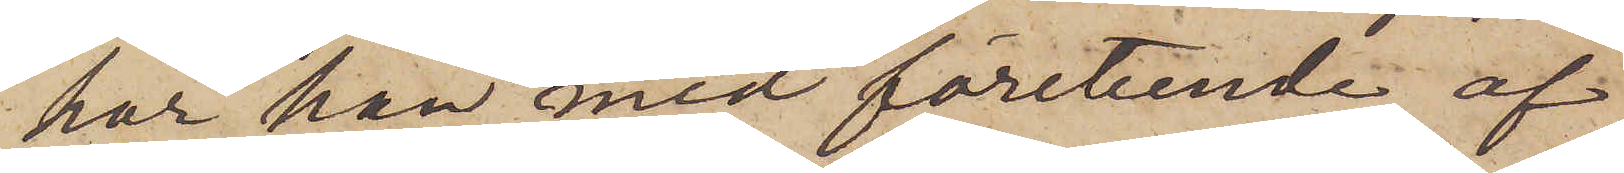har han med företeende af
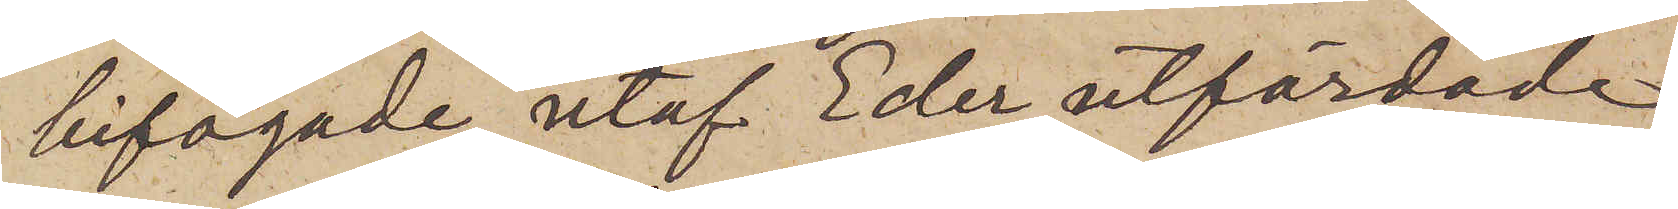bifogade, utaf Eder utfärdade
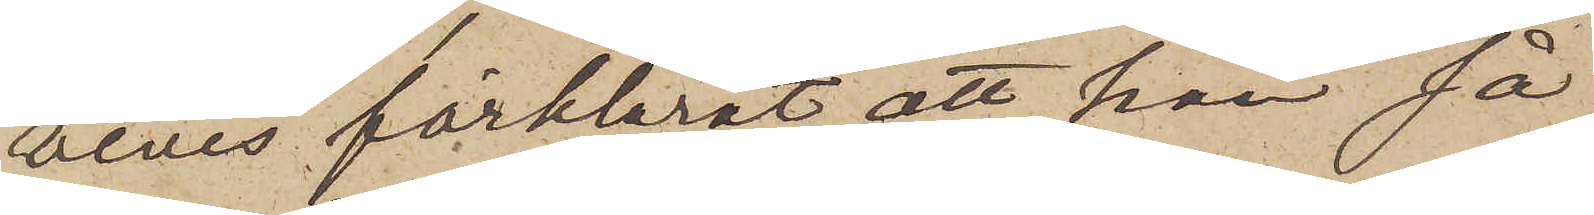bevis förklarat att han så
